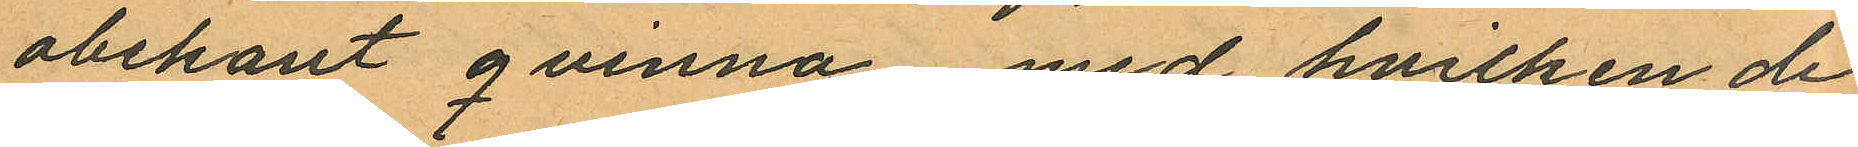obekant qvinna med hvilken de
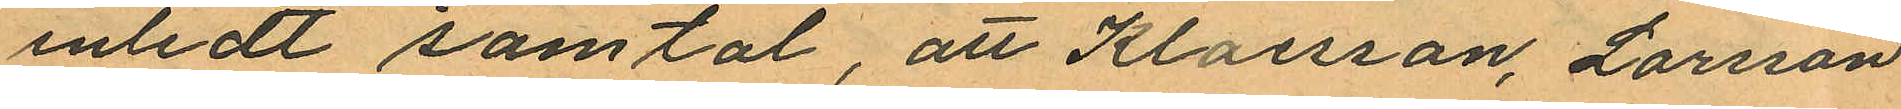inledt samtal, att Klaesson, Larsson
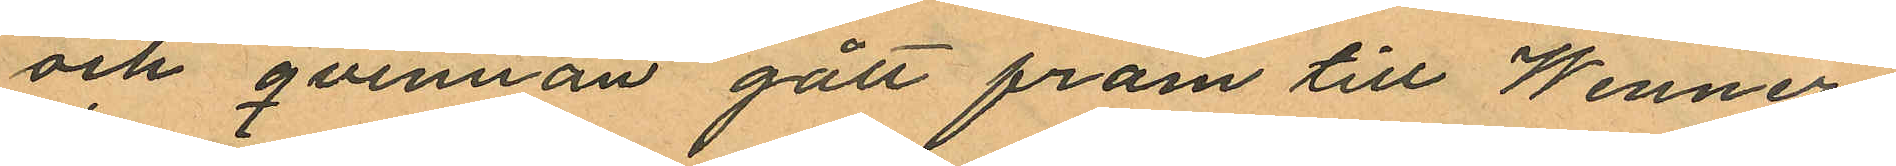och qvinnan gått fram till Wenner¬
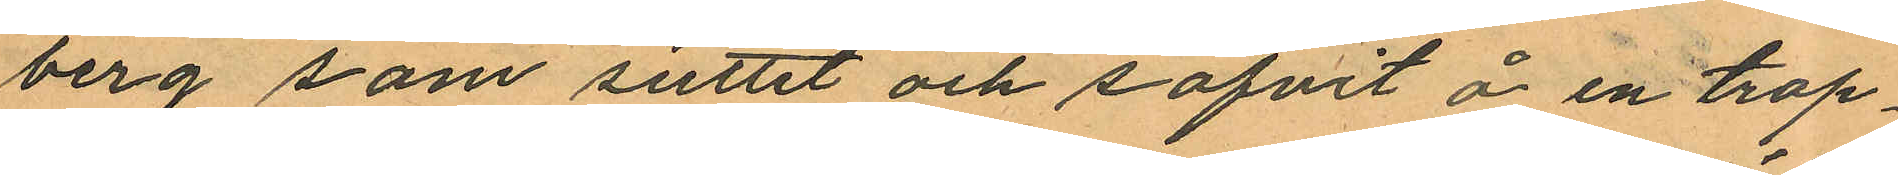berg som suttit och sofvit å en trap¬
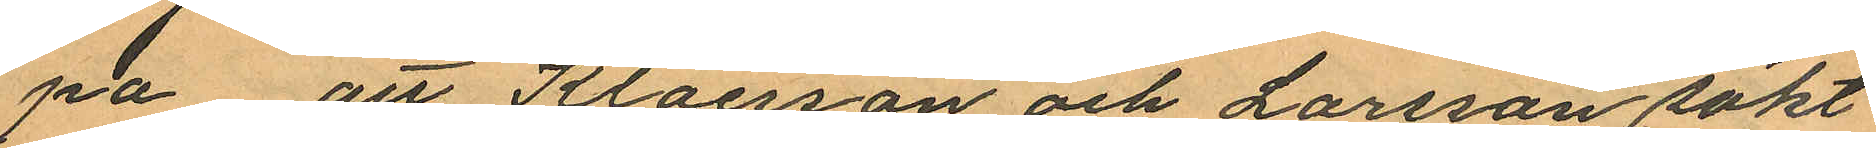pa att Klaesson och Larsson sökt
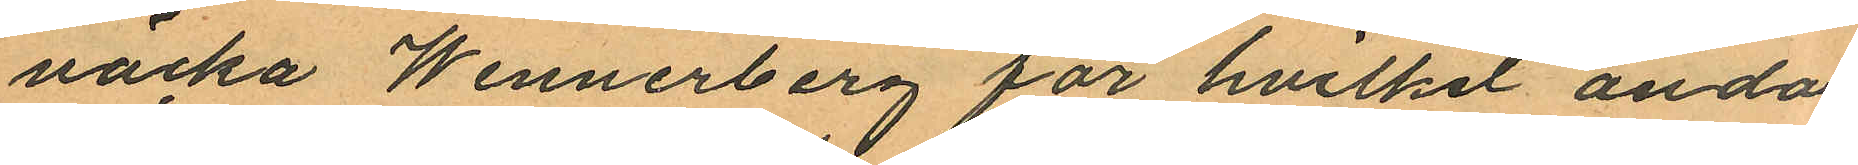väcka Wennerberg för hvilket ända
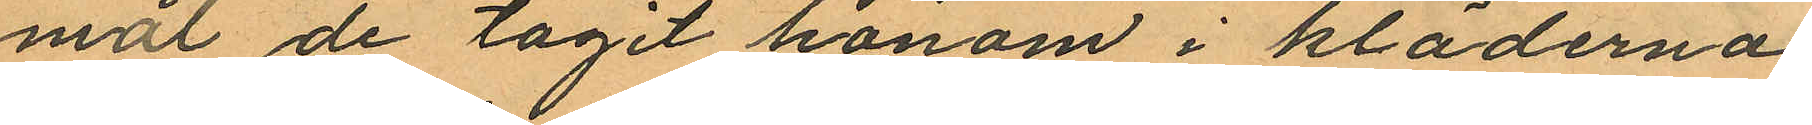mot de tagit honom i kläderna
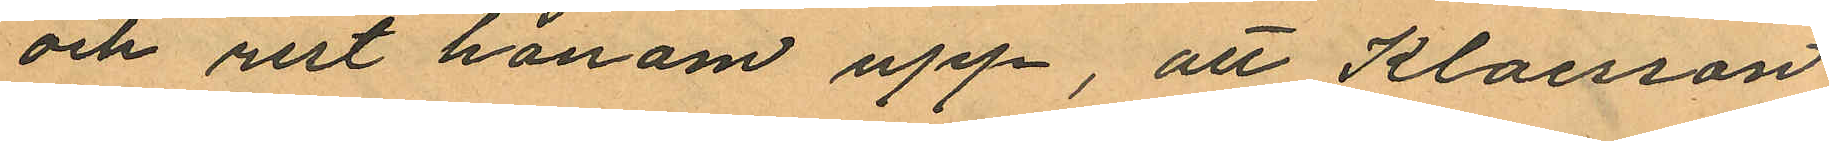och rest honom upp, att Klaesson
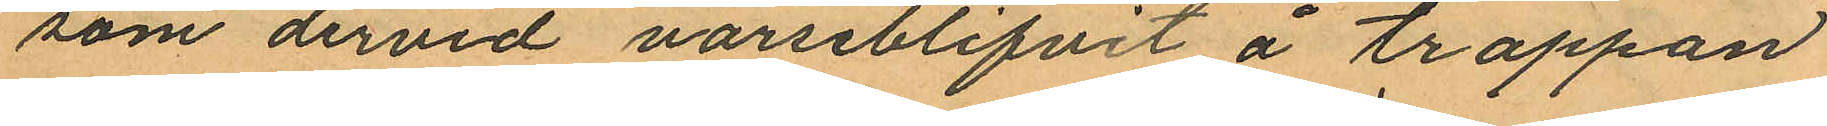som dervid varseblifvit å trappan
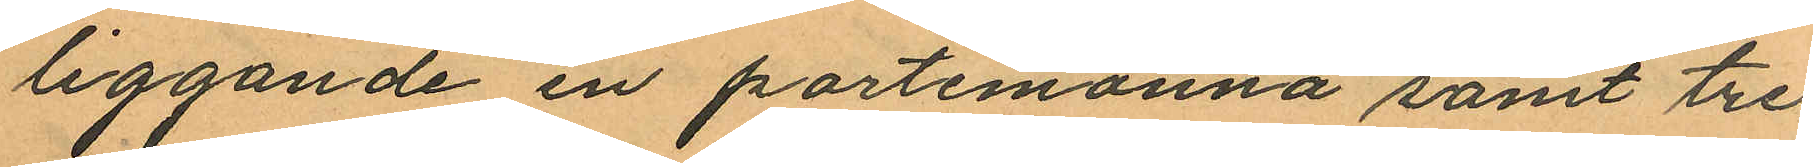liggande en portemonnä samt tre
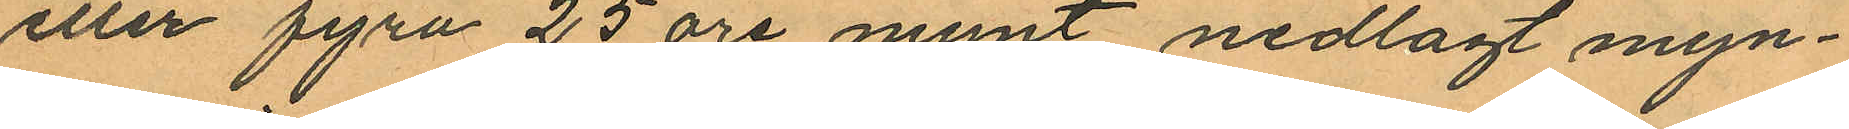eller fyra 25 öre mynt nedlagt myn¬
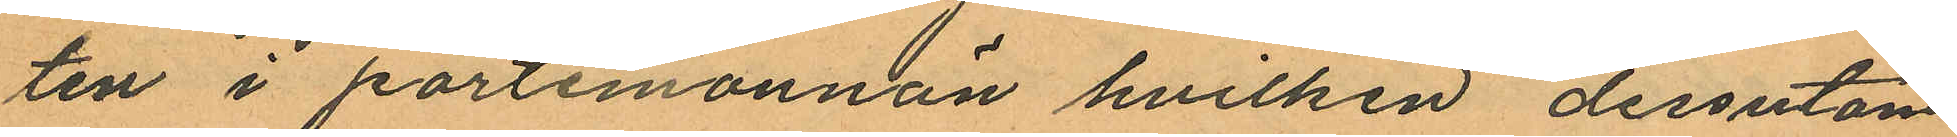ten i portemonnän hvilken dessutom
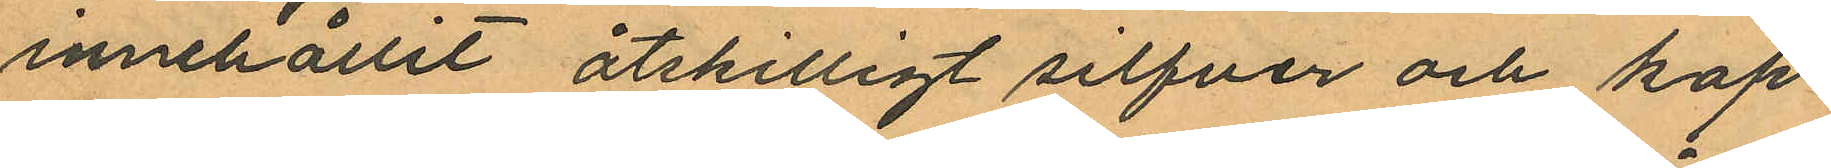innehållit åtskilligt silfver och kop¬
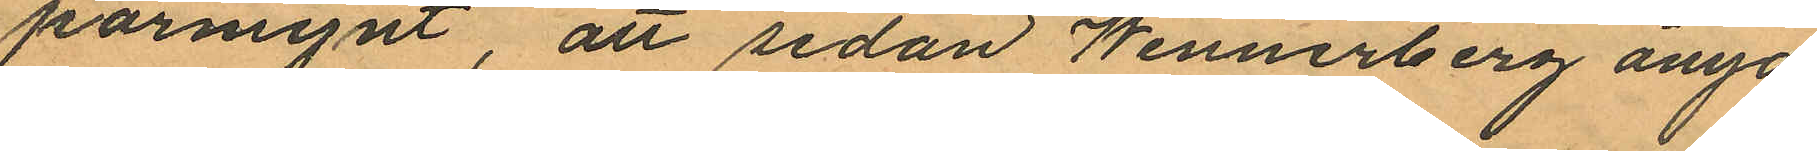parmynt, att sedan Wennerberg ånyo
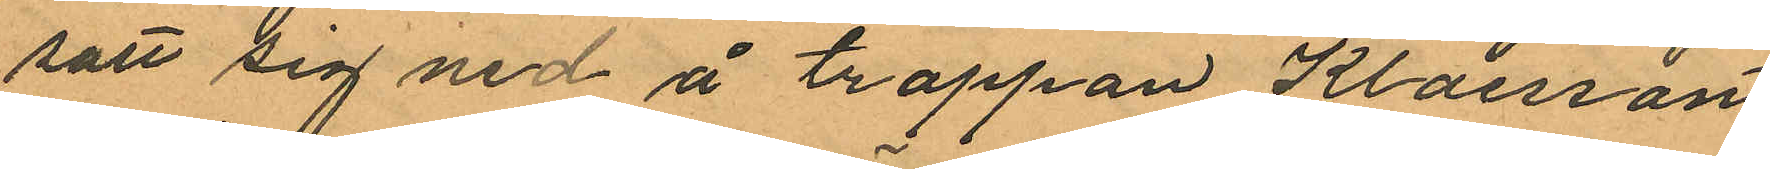satt sig ned å trappan Klaesson
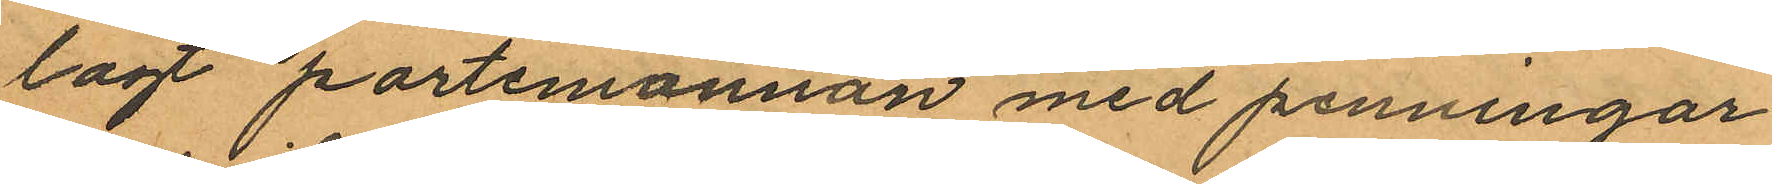lagt portemonnän med penningar
